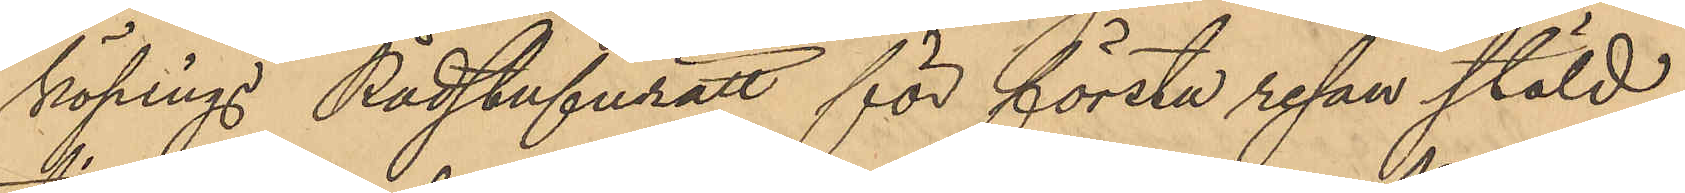köpings Rådstufvurätt för första resan stöld
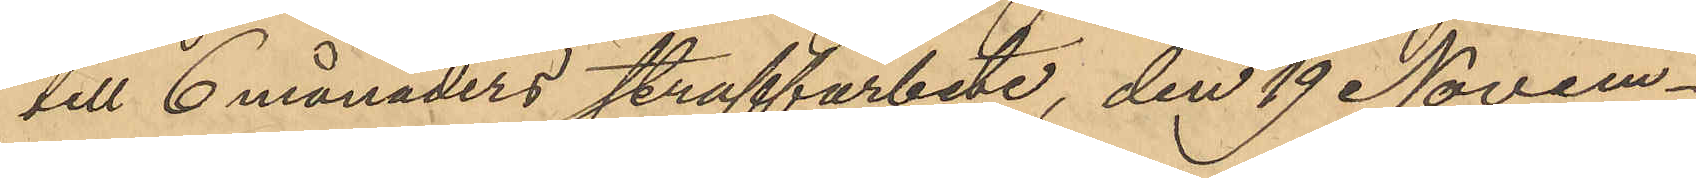till 6 månaders straffarbete, den 19 Novem¬
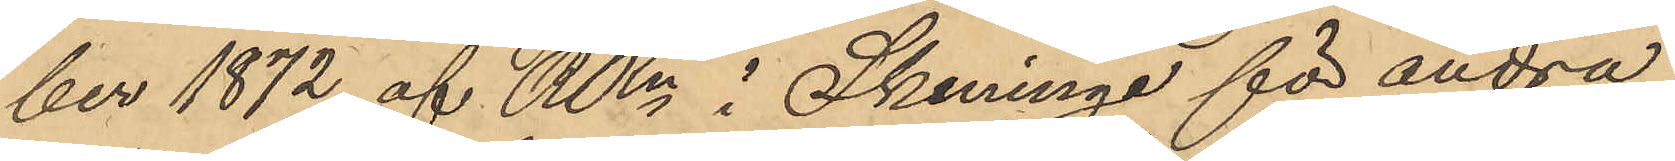ber 1872 af RRn i Skeninge för andra
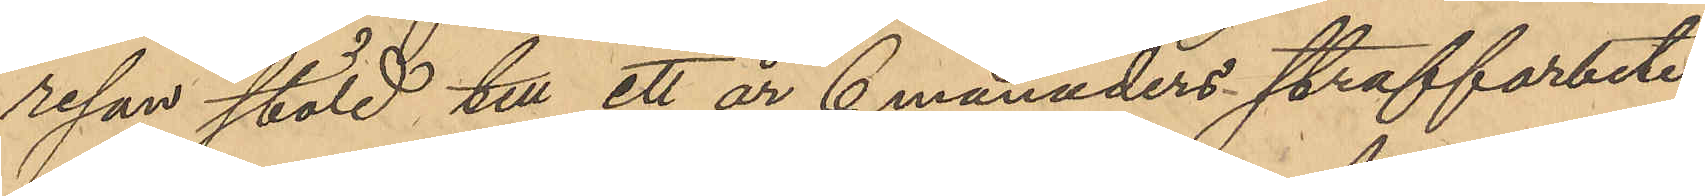resan stöld till ett år 6 månaders straffarbete;
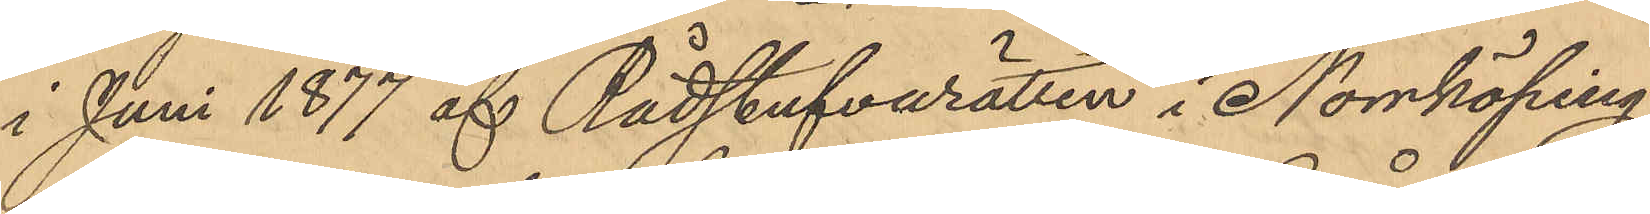i Juni 1877 af Rådstufvurätten i Norrköping
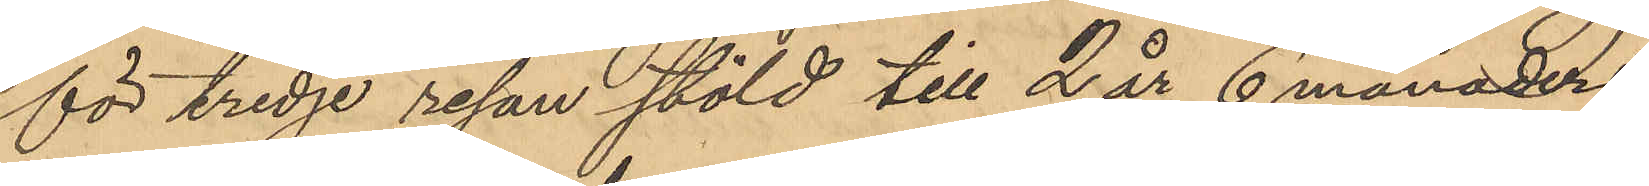för tredje resan stöld till 2 år 6 månaders
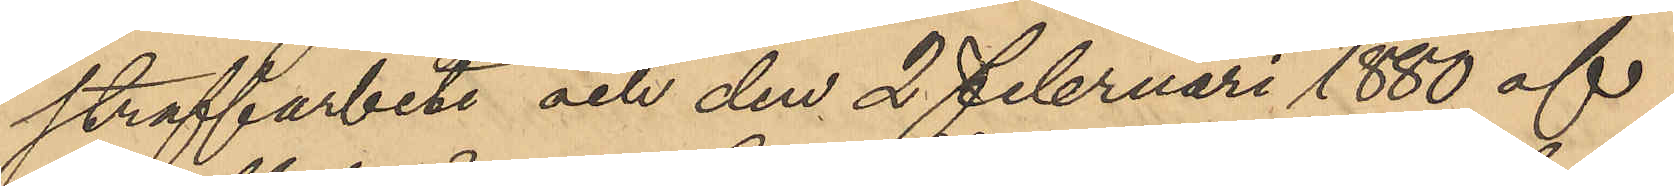straffarbete och den 2 Februari 1880 af
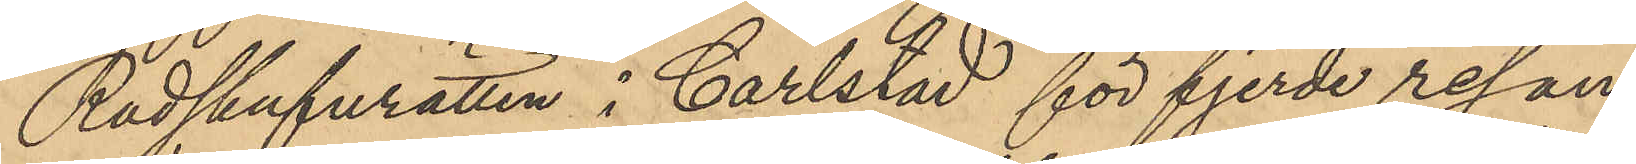Rådshufurätten i Carlstad för fjerde resan
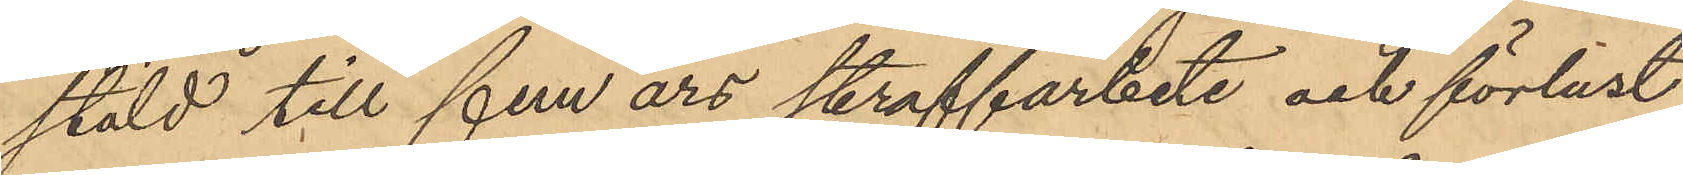stöld till fem års straffarbete och förlust
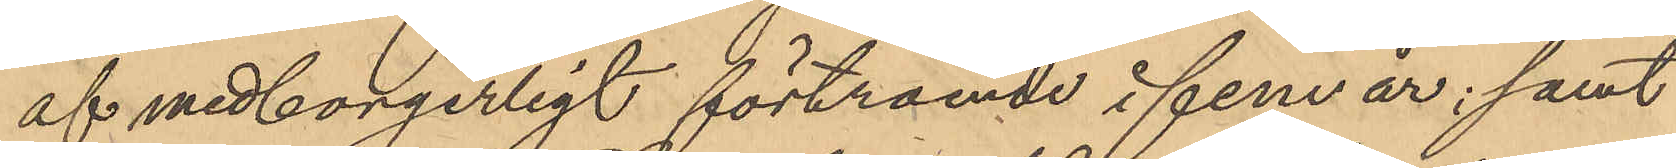af medborgerligt förtroende i fem år; samt
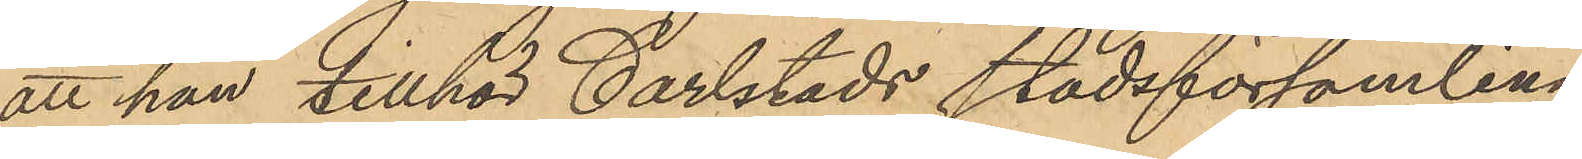att han tillhör Carlstads stadsförsamling.
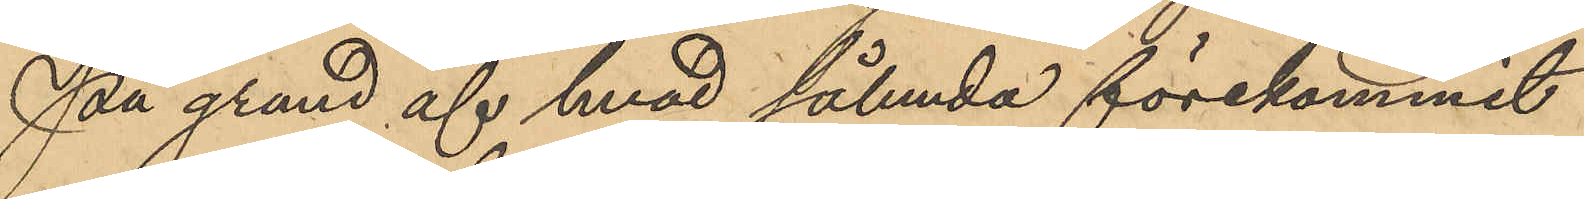På grund af hvad sålunda förekommit
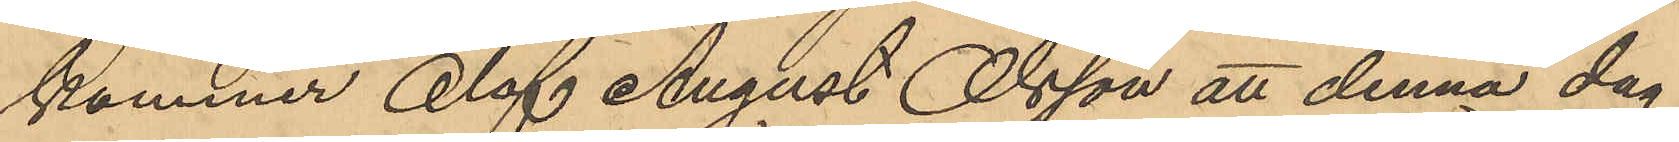kommer Olof August Olsson att denna dag
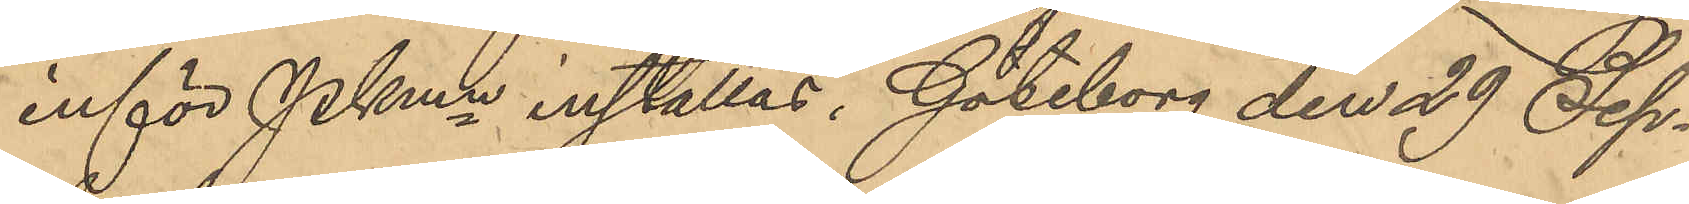inför Pkmn inställas. Göteborg den 29 Sep¬
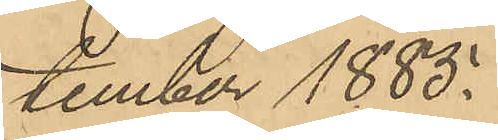tember 1885.
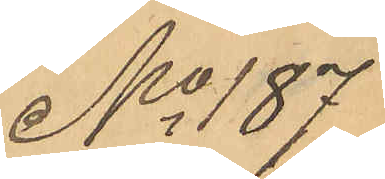No 187
